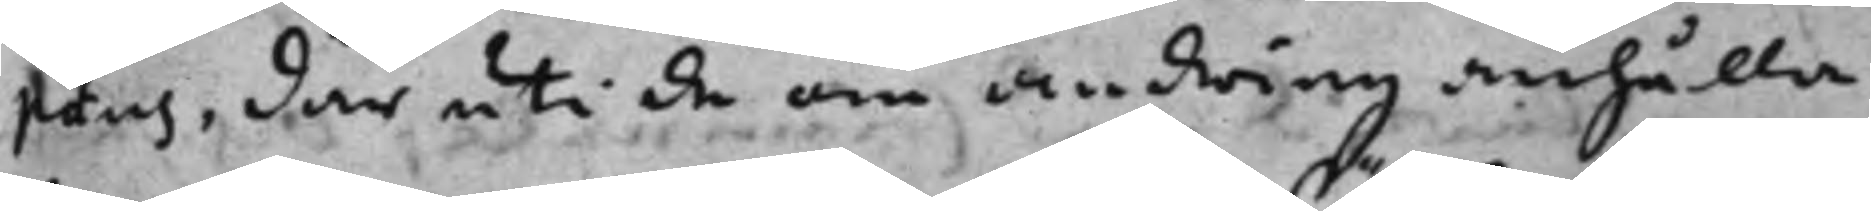peus, där uti de om ändring anhålla
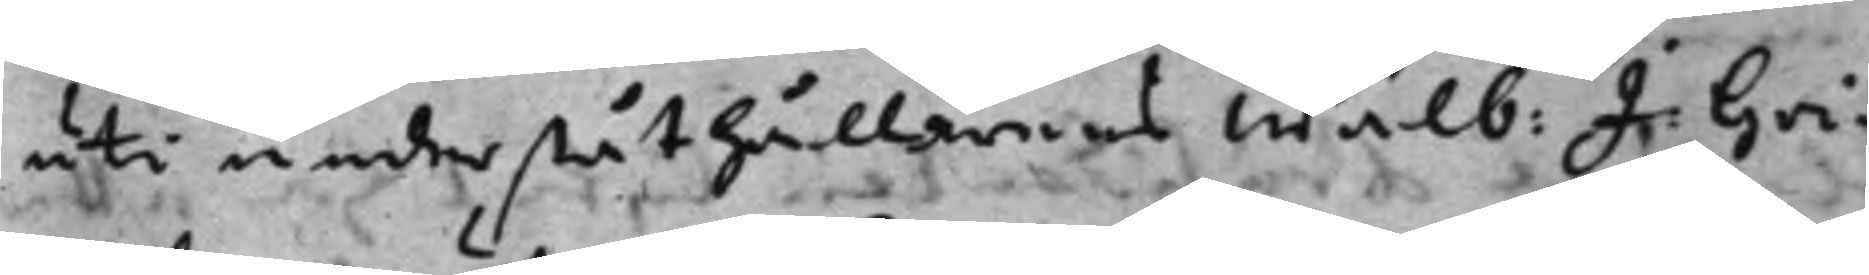uti underståthållarens Wälb: J: Gri¬
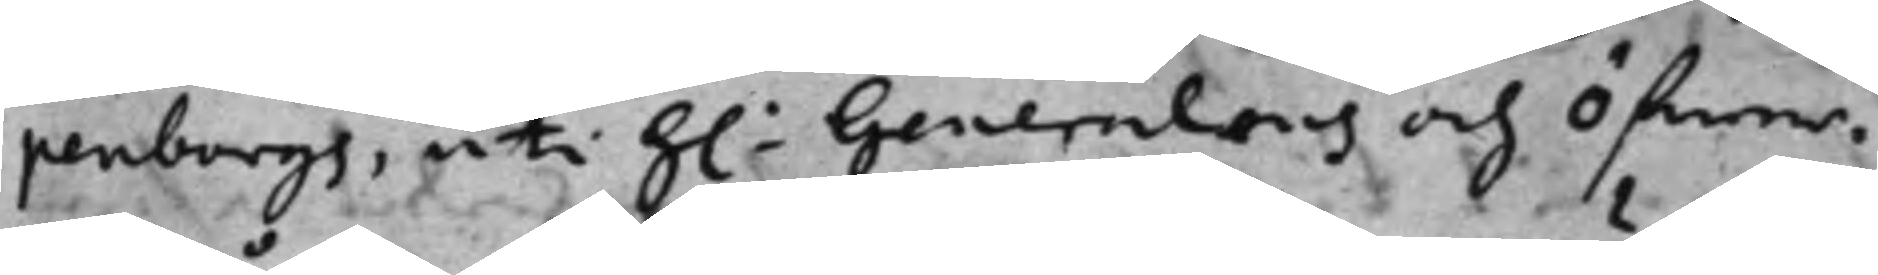penbergs, uti h.r Generalens och Öfwer¬
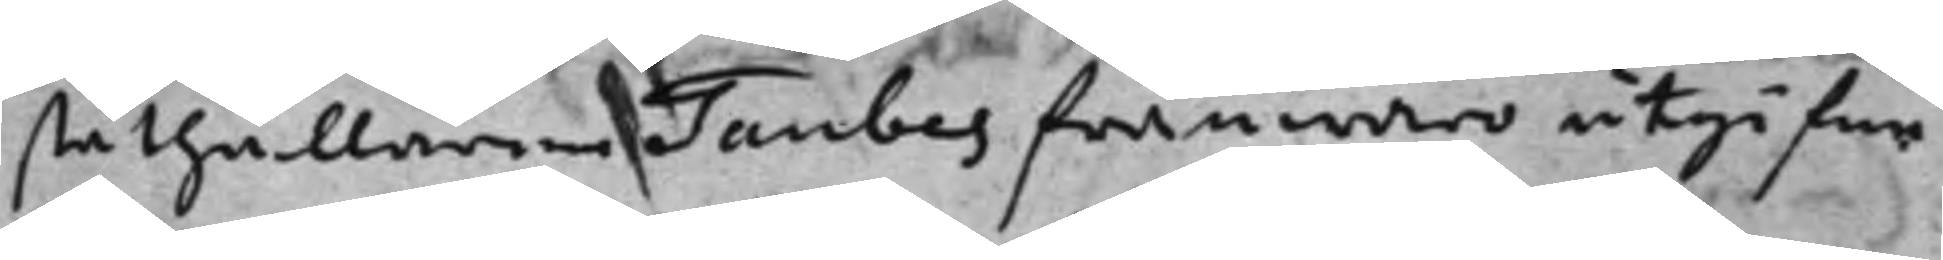ståthållaren Taubes frånwaro utgifne
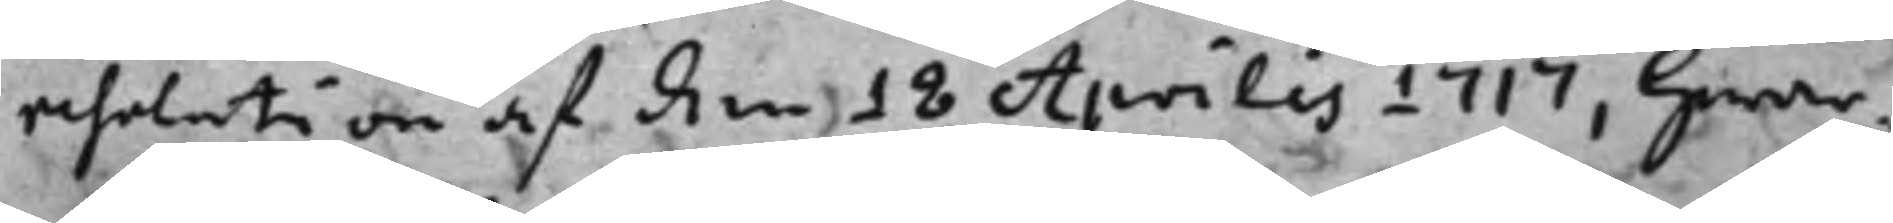resolution af den 18 Aprilis 1717, hwar¬
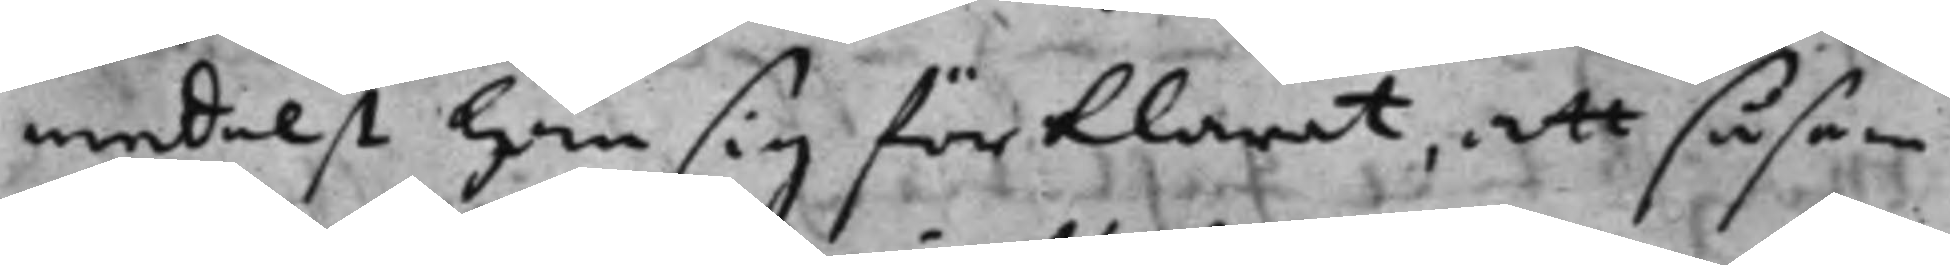medelst han sig förklarat, att såsom
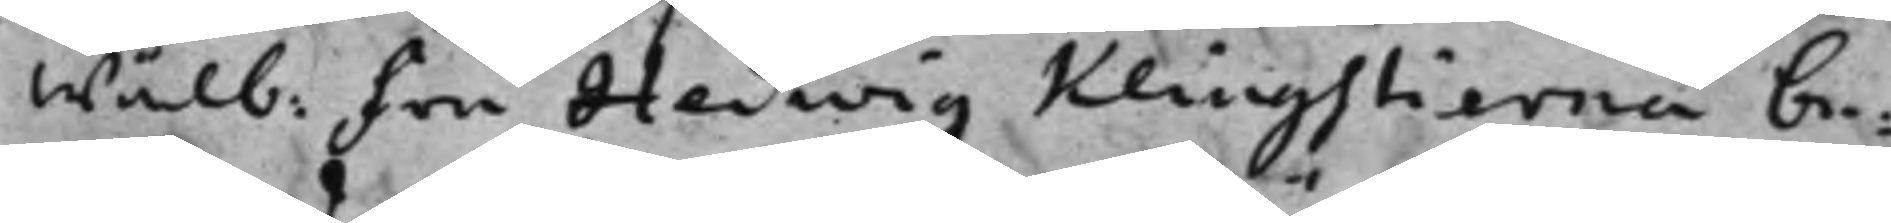Wälb: Fru Hedwig Klingstierna be¬
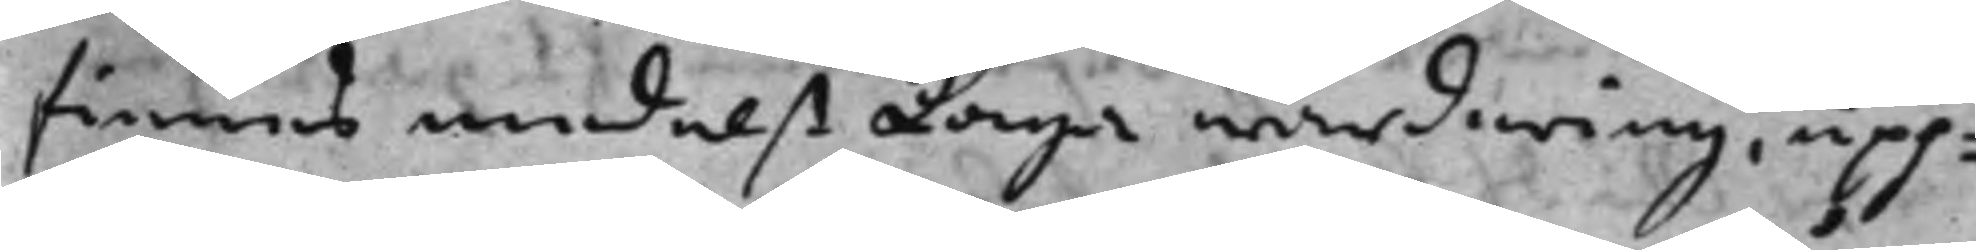finnes medelst Laga wärdering, upp¬
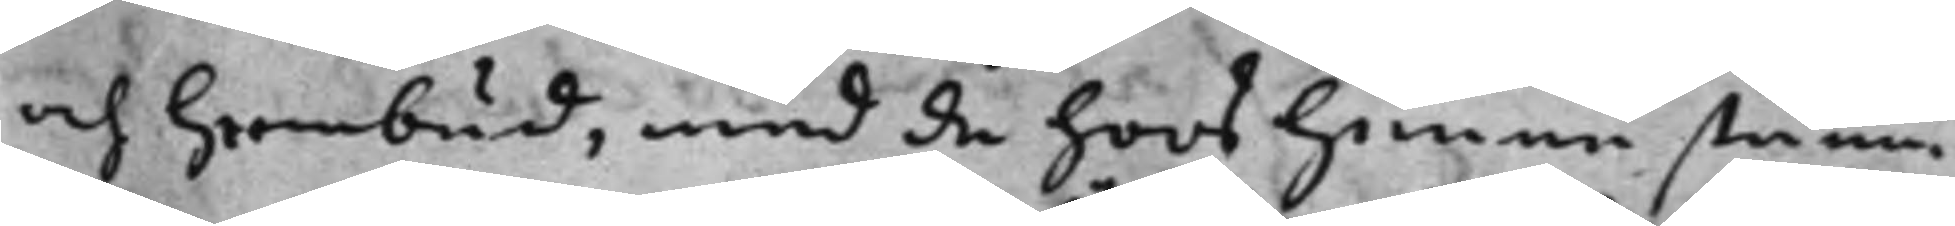och hembud, med de hoos henne ståen¬
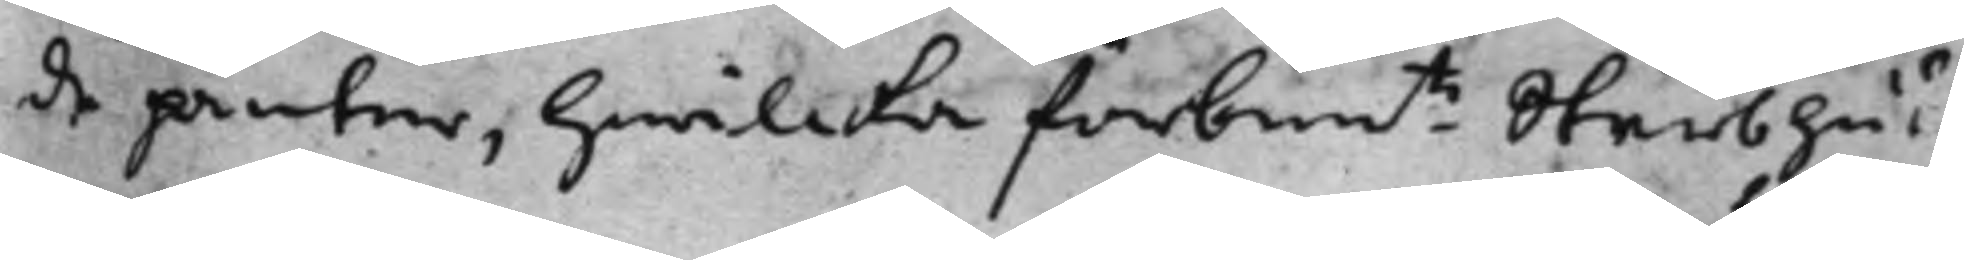de panter, hwilcka förbem.te Sterbhus
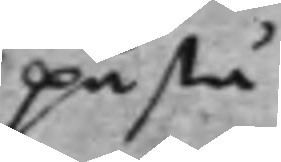påstå
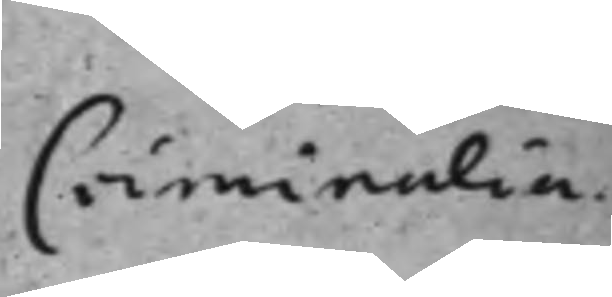Criminalia.
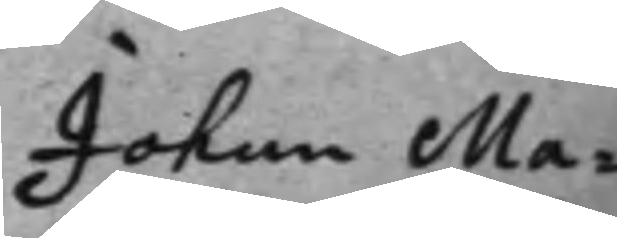Johan Ma¬
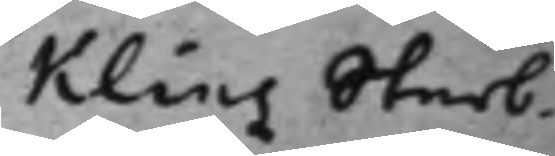Klins Sterb¬
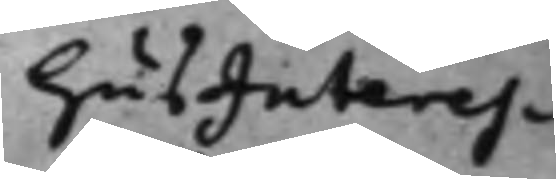hus Interes¬
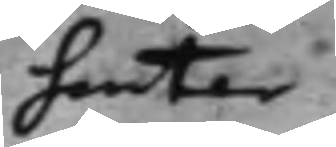senter
